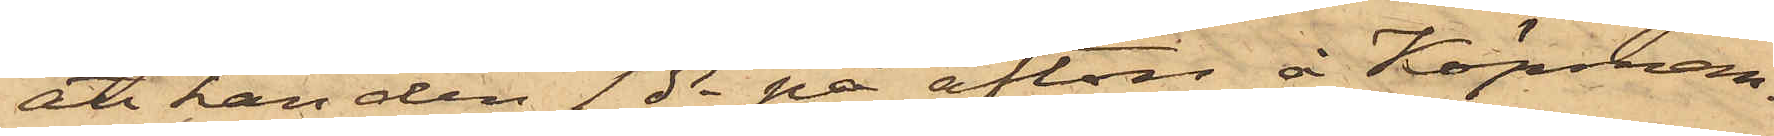att han den 1 ds på afton å Köpman¬
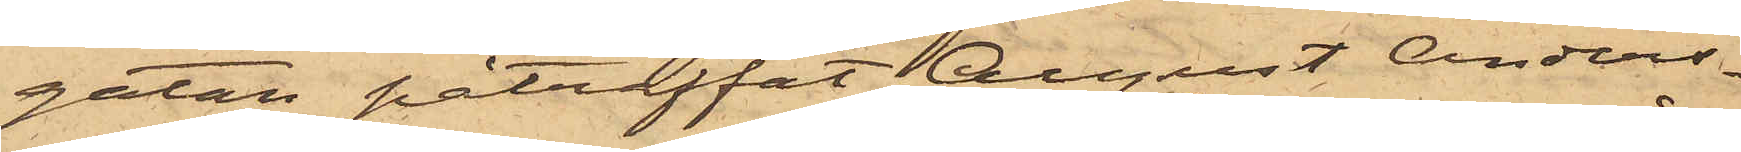gatan påträffat August Anders¬
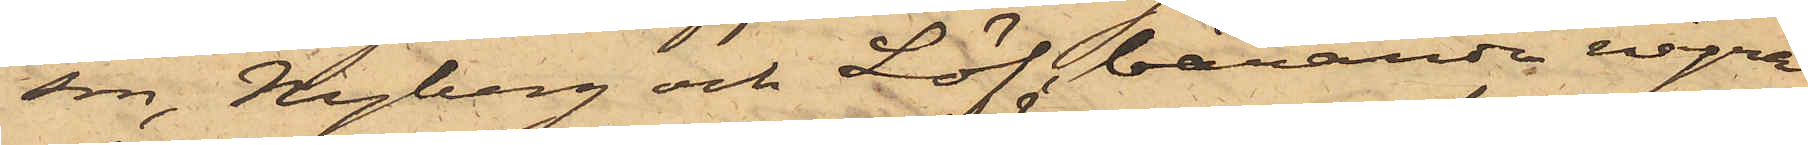son, Nyberg och Löf, bärande några
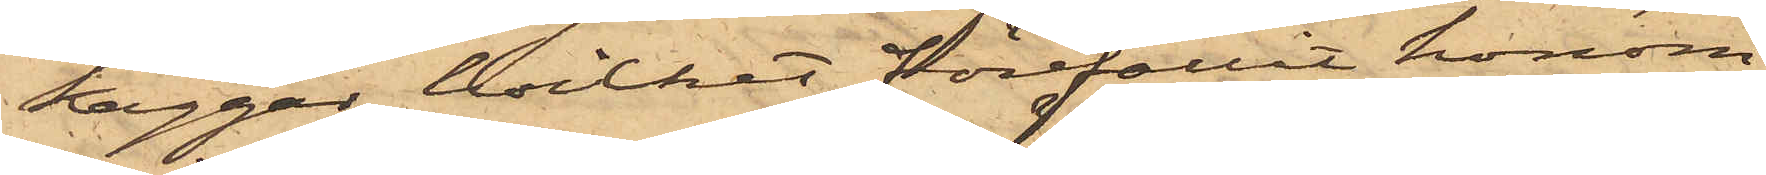kaggar, hvilket förefallit honom
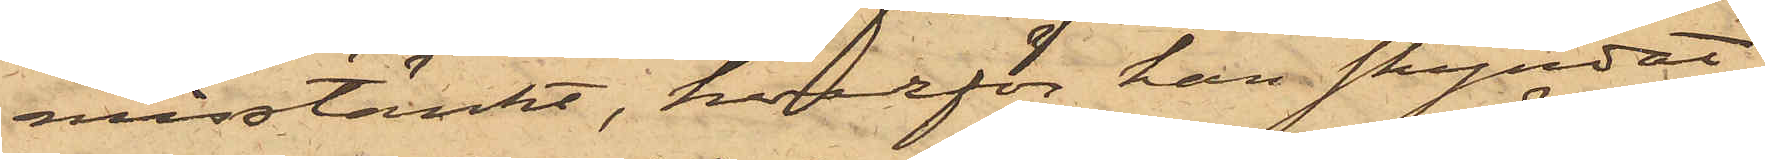misstänkt, hvarför han skyndat
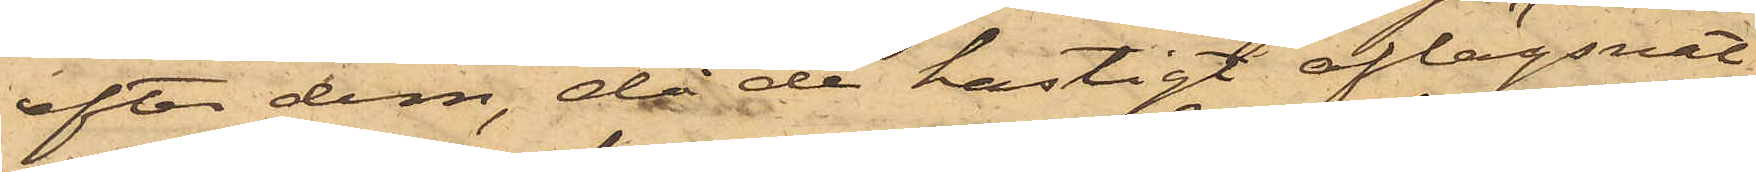efter dem, då de hastigt aflägsnat
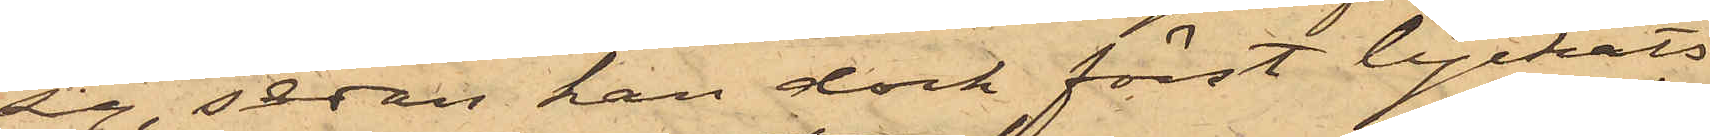sig, sedan han dock först lyckats
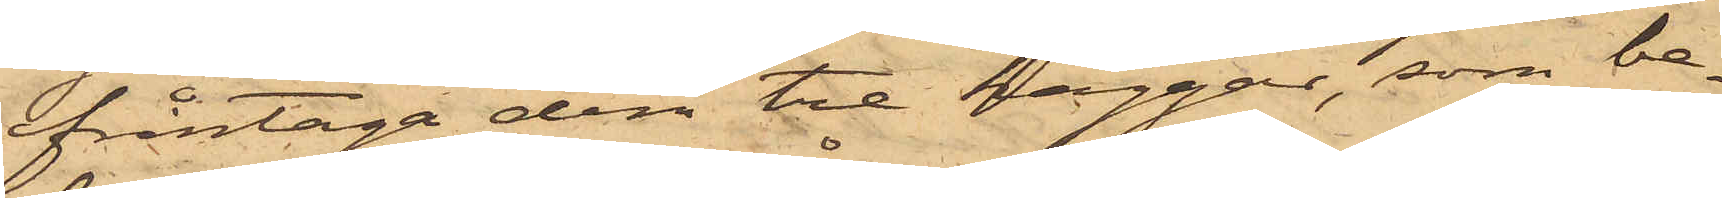ifråntaga dem tre kaggar, som be¬
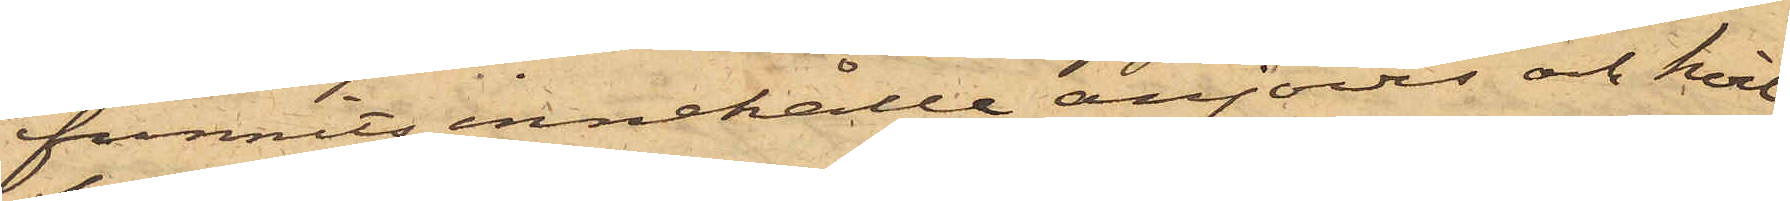funnits innehålla anjovis och hvil¬
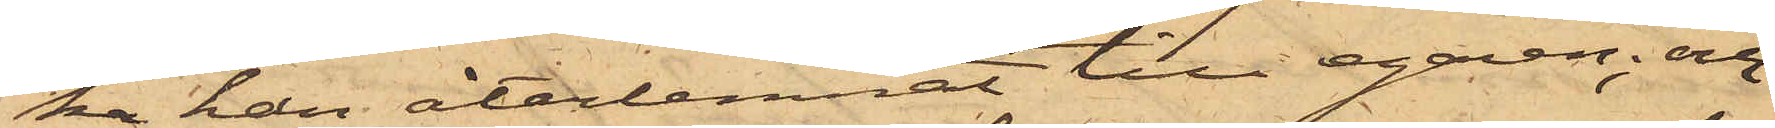ka han återlemnat till egaren; och
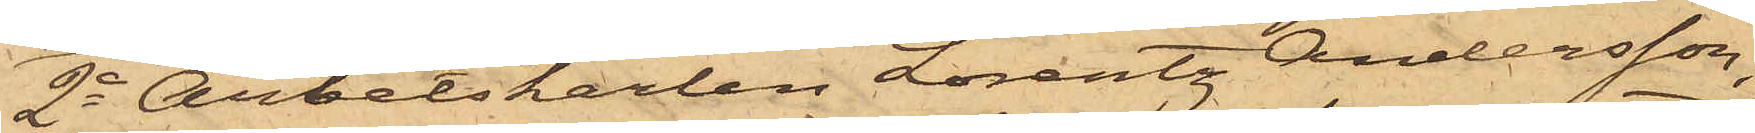2o Arbetskarlen Lorentz Andersson,
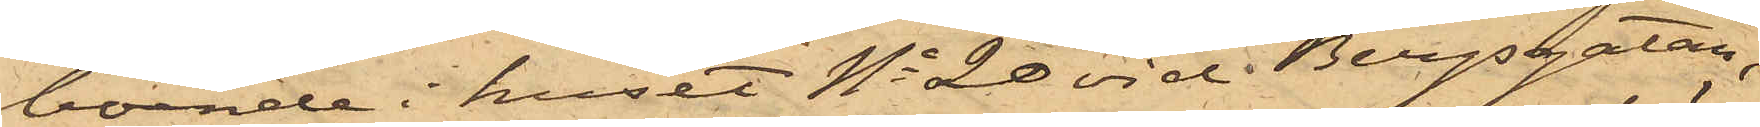boende i huset No 20 vid Bergsgatan,
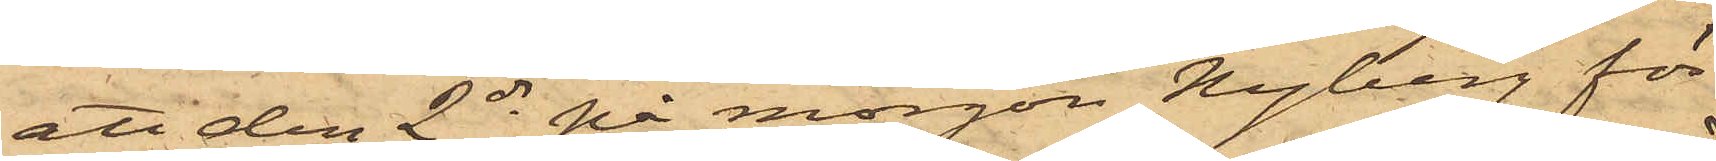att den 2 ds på morgon Nyberg för
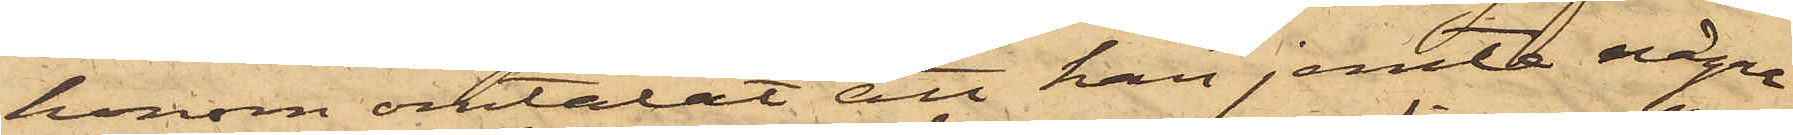honom omtalat att han jemte några
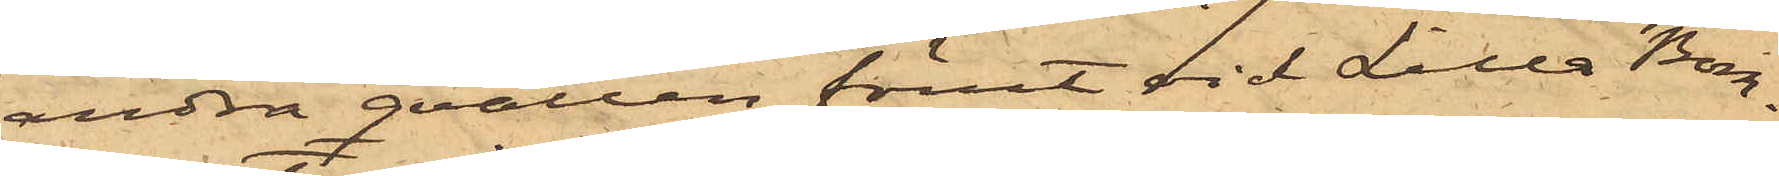andra qvällen förut vid Lilla Bom¬
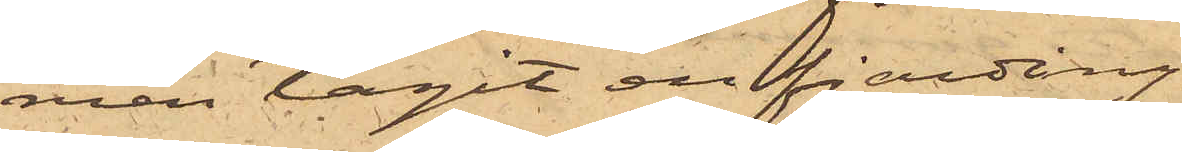men tagit en fjärding,
